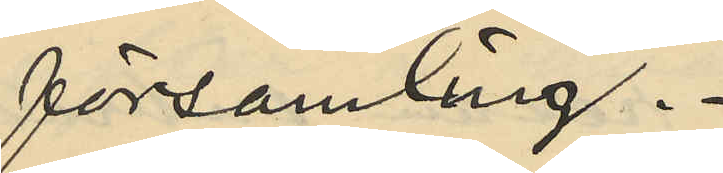församling.
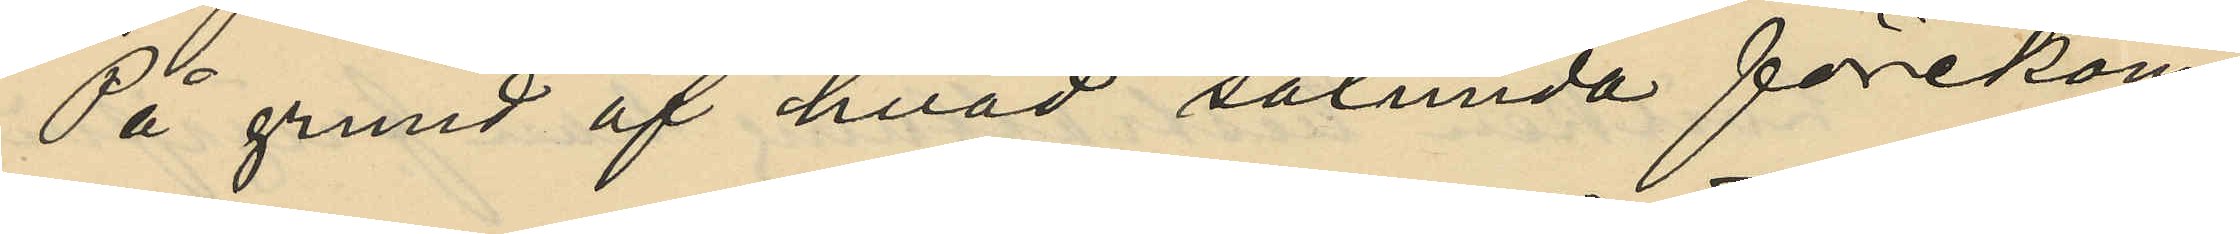På grund af hvad sålunda förekom¬
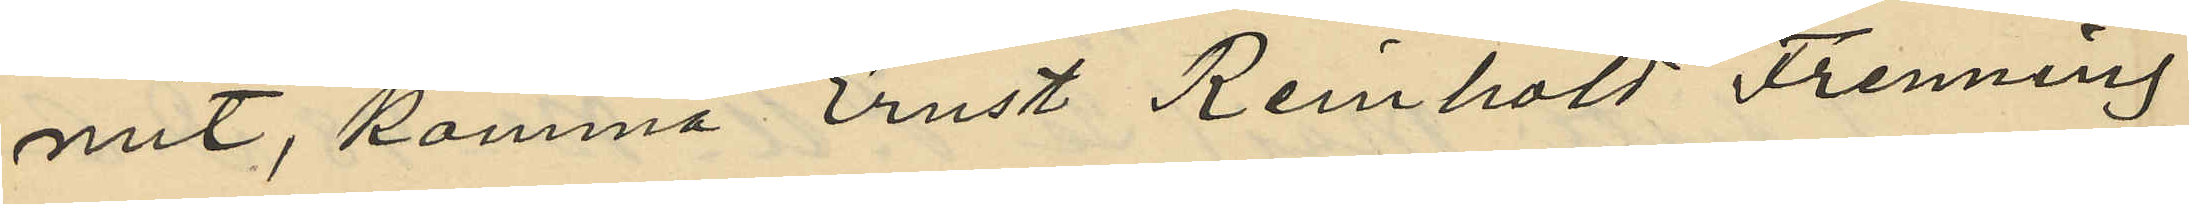mit, komma Ernst Reinhold Frenning
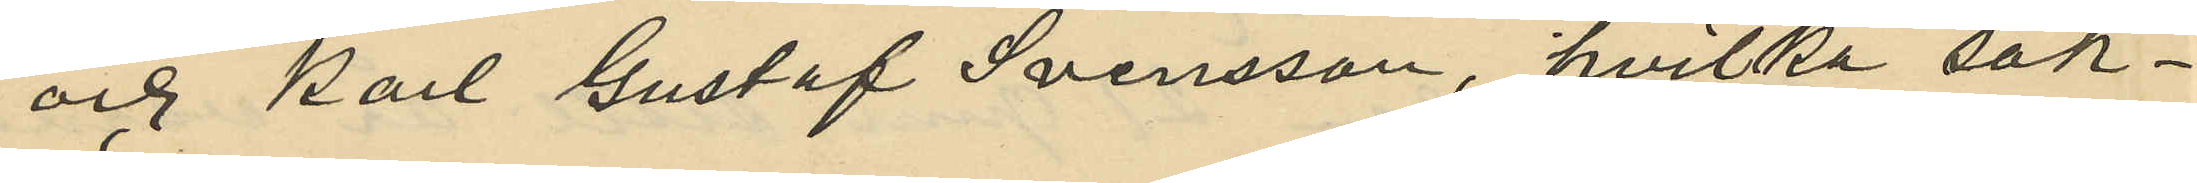och Karl Gustaf Svensson, hvilka sak¬
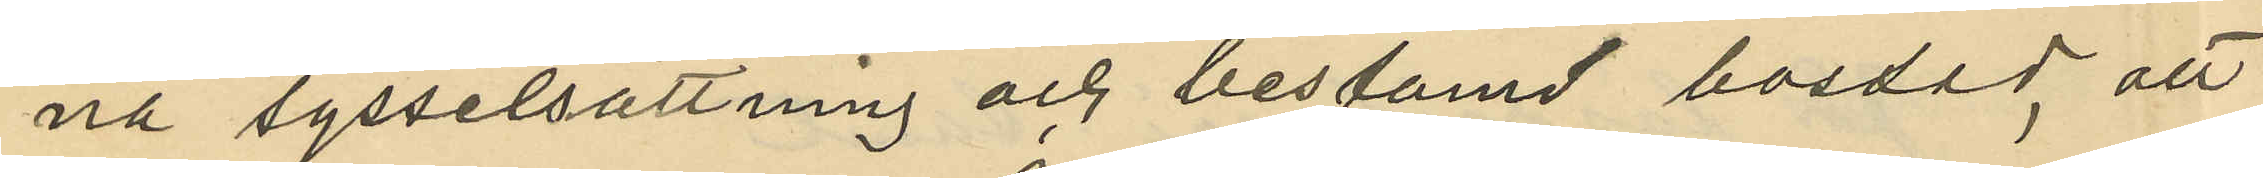na sysselsättning och bestämd bostad att
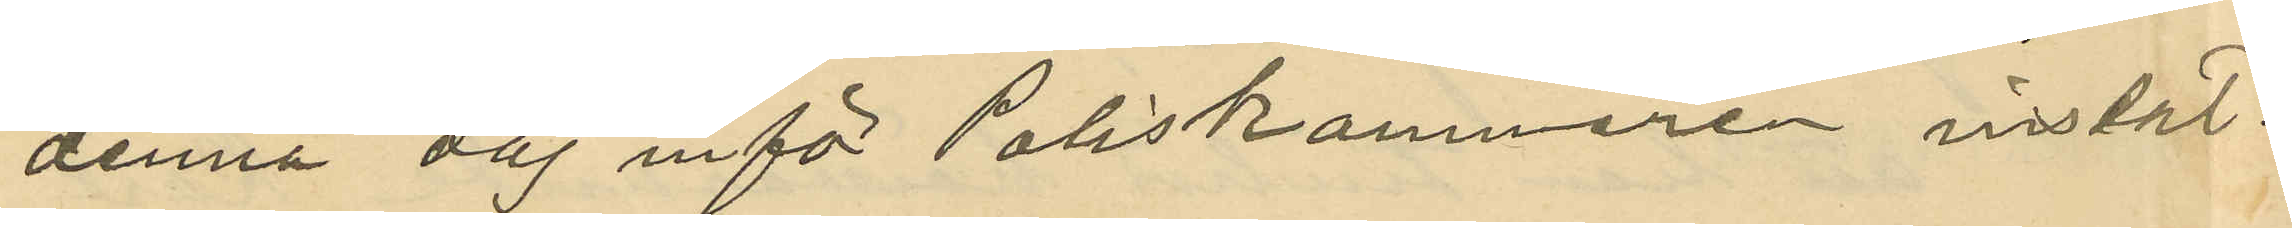denna dag inför Poliskammaren instäl¬
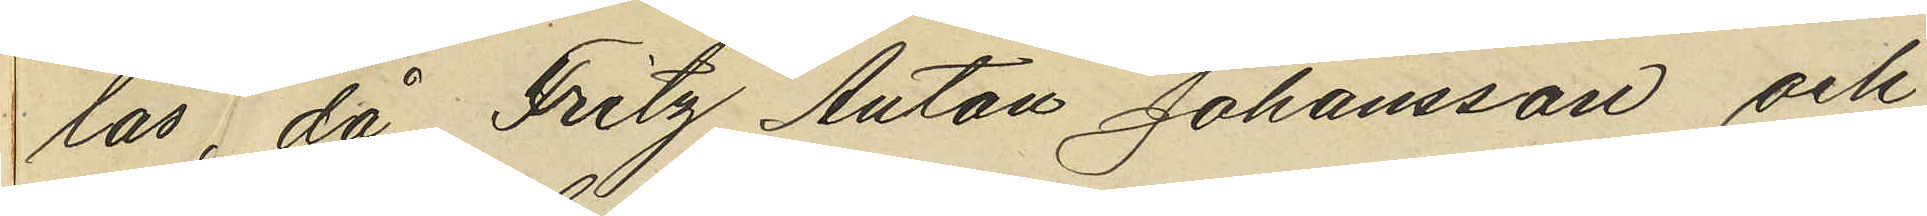las, då Fritz Anton Johansson och
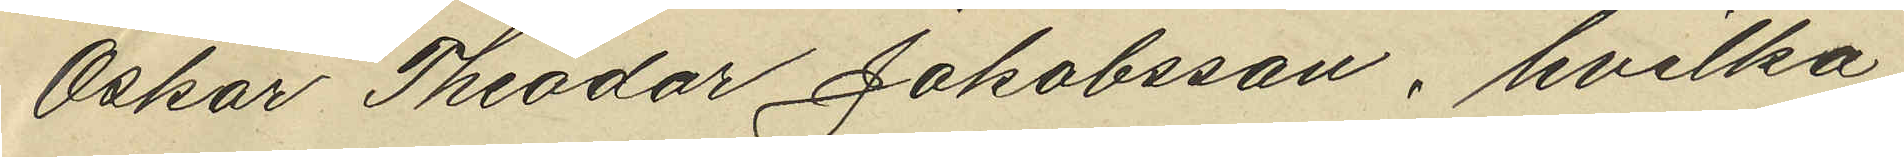Oskar Theodor Jakobsson, hvilka
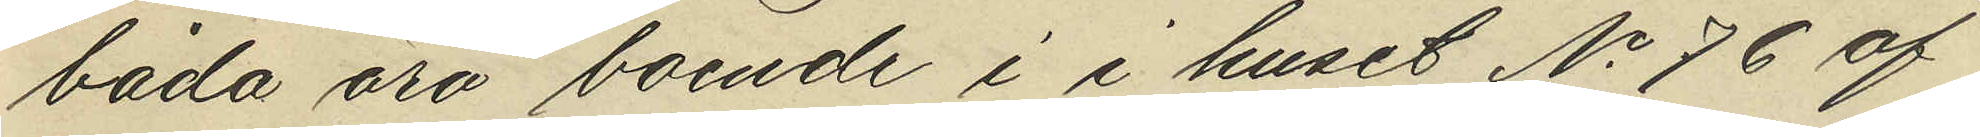båda äro boende i i huset No 76 af
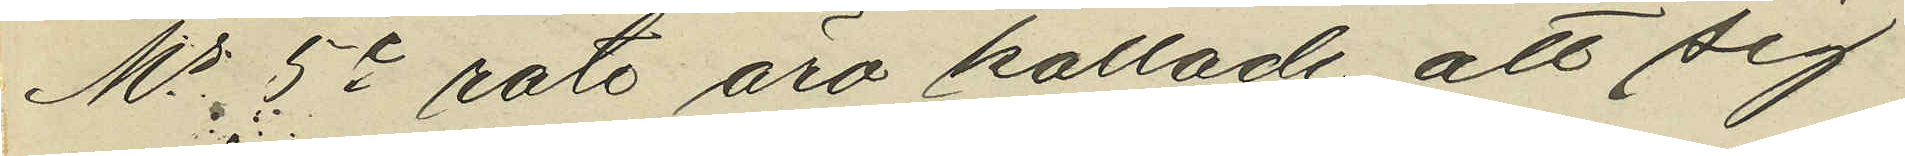Ms 5e rote äro kallade att sig
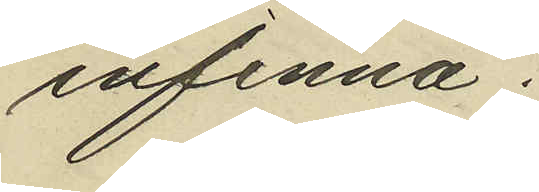infinna.
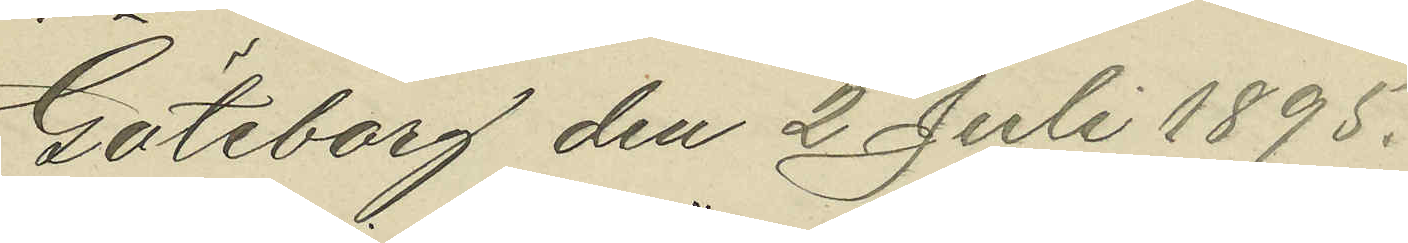Göteborg den 2 Juli 1895.
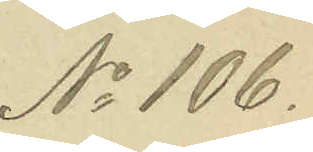No 106.
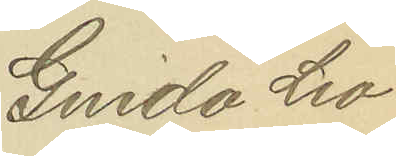Guido Leo
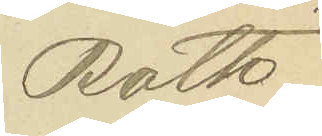Roth.
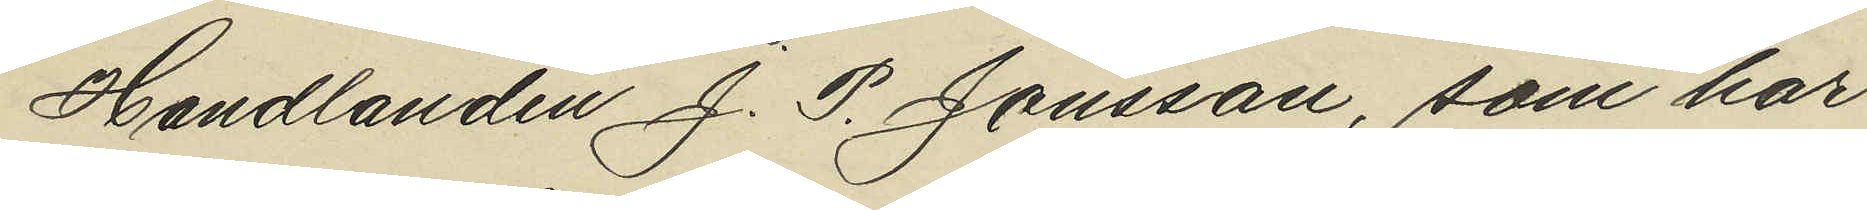Handlanden J. P. Jönsson, som har
